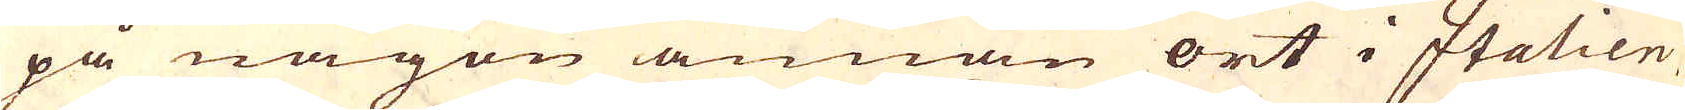på någon annan ort i Italien,
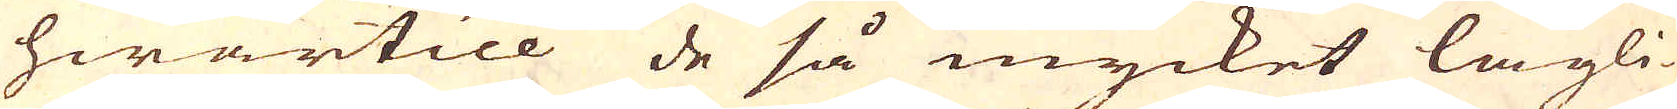hwartill de så mycket lägli-
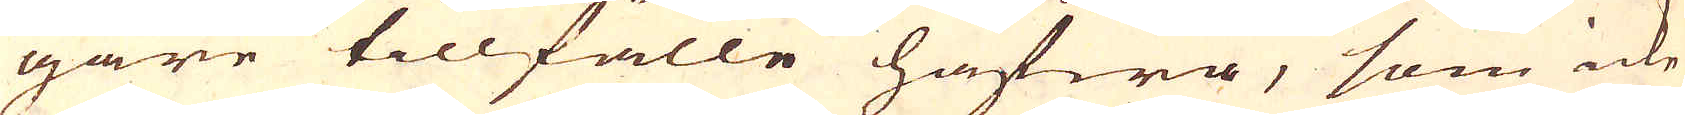gare tillfälle hafwa, som icke
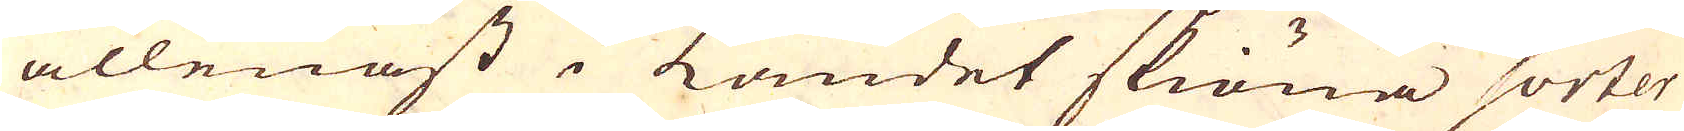allenast i Landet skiöna sorter
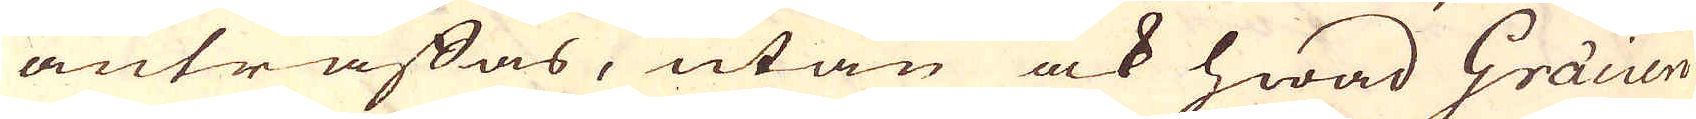anträffas, utan ock hwad Gräcien
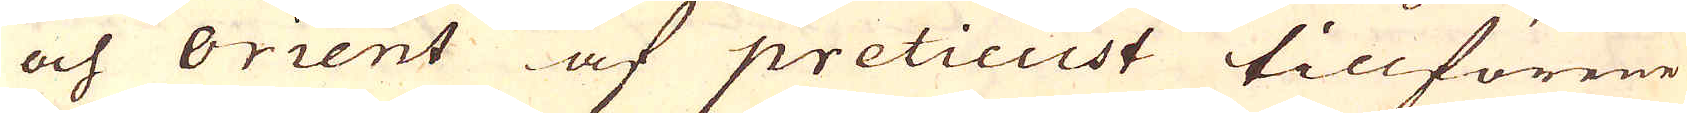och orient af pretieust tillförene
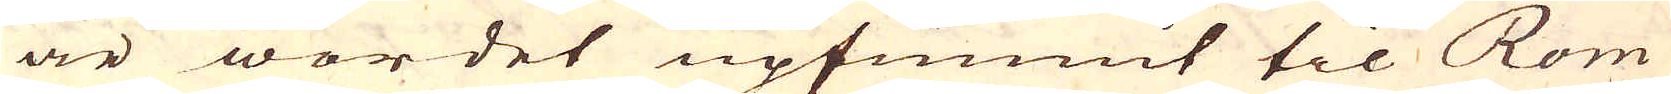är wordet upfunnit til Rom
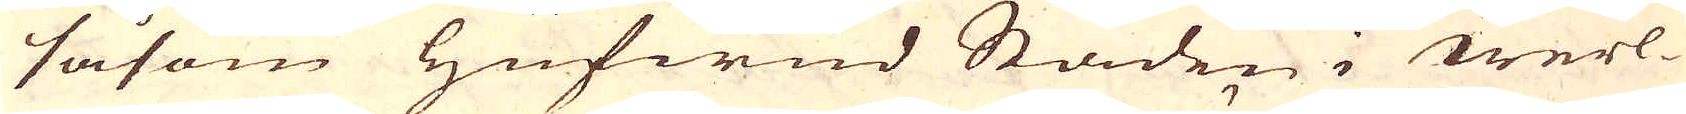såsom Hufwud Staden i werl-
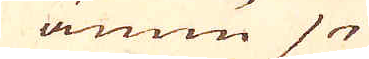ännu
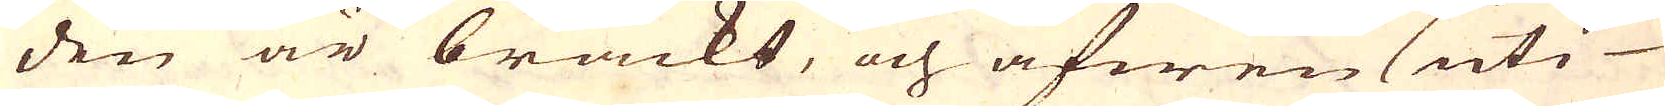den är brackt, och äfwen uti
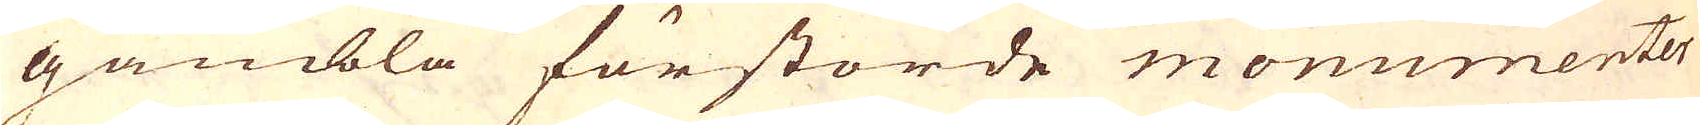gambla förstorde monumenter
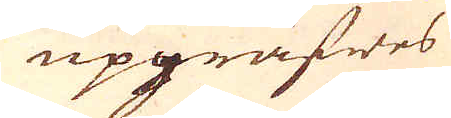upgräfwes
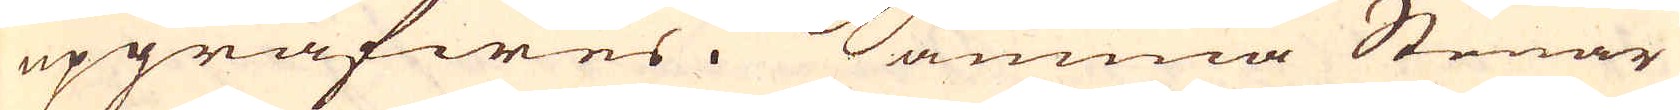upgräfwes. Samma Stenar
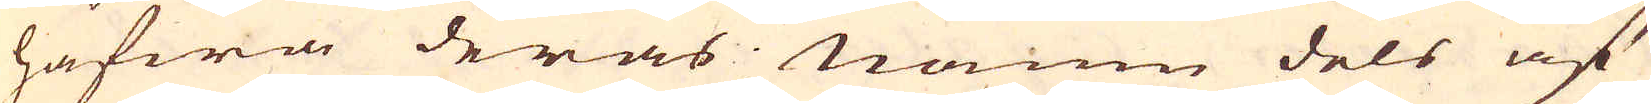hafwa deras namn dels af
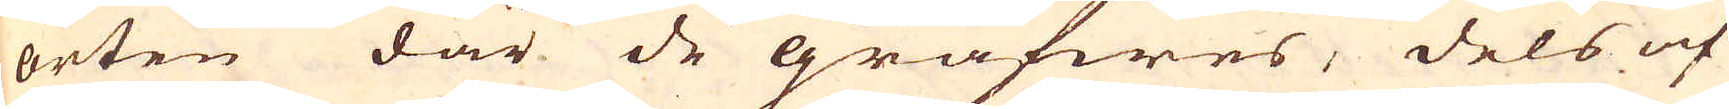orten där de gräfwes, dels af
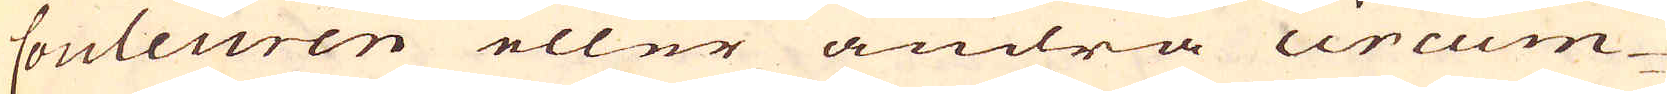Couleuren eller andra circum-
